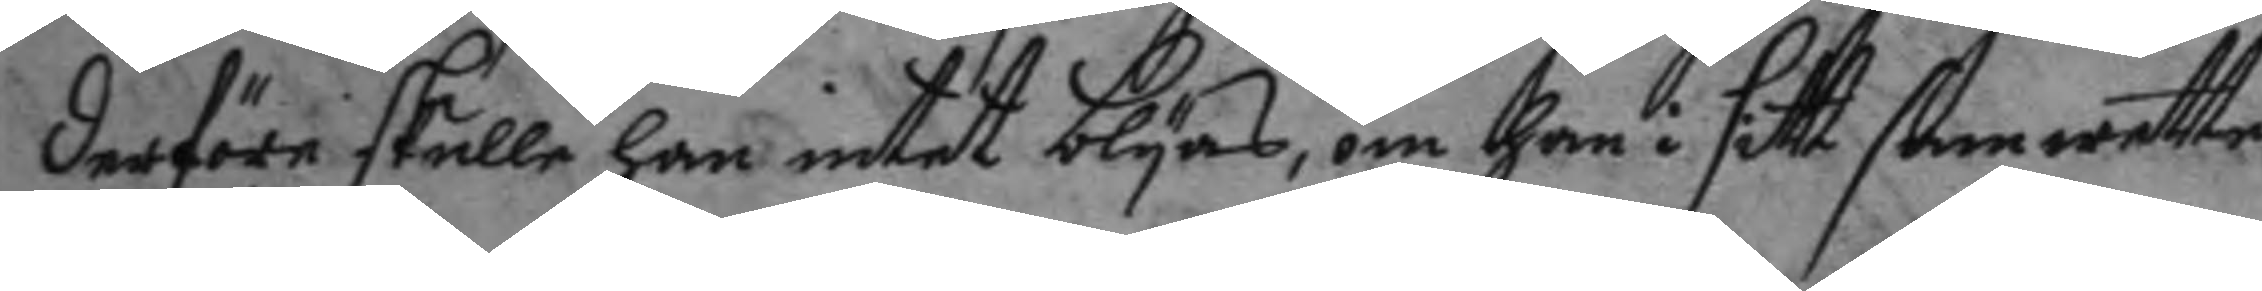derföre skulle han intet blygas, om han i sitt samwette
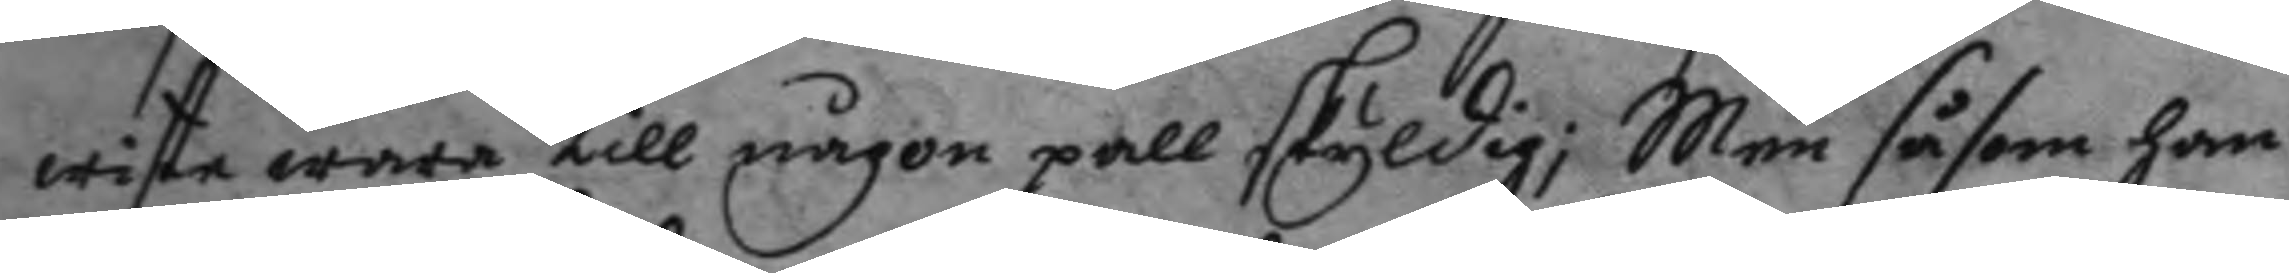wiste wara till någon pall skyldig; Men såsom han
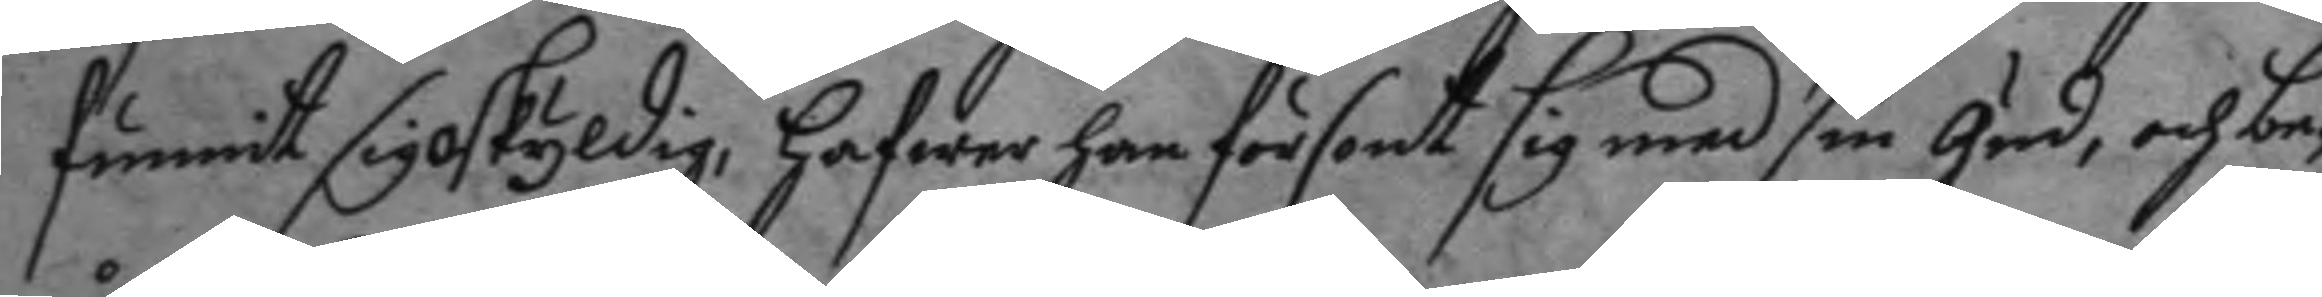funnit sig oskyldig, hafwer han försont sig med sin gud, och be¬
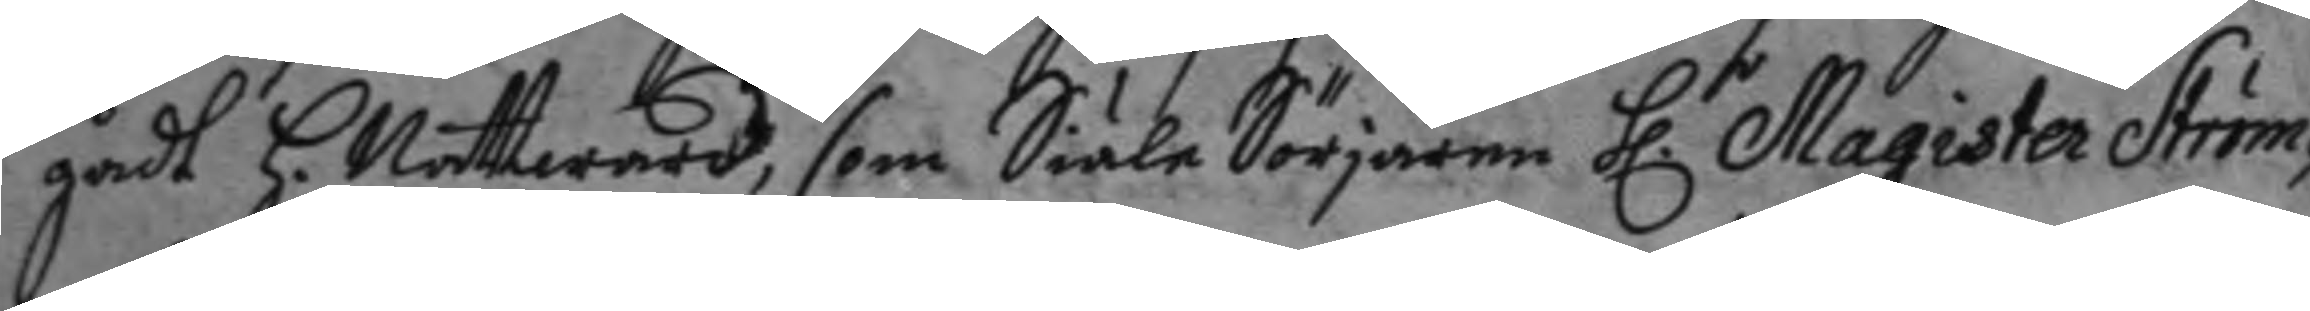gådt H. Nattward, som SiälaSörjaren h.r Magister Ström¬
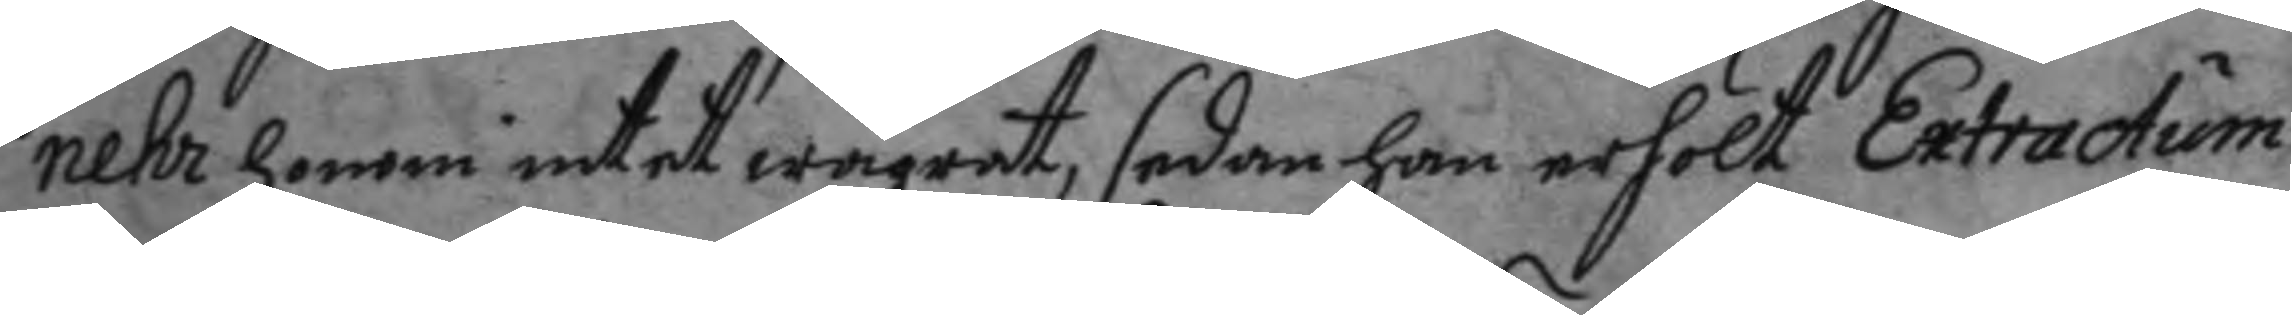nehr honom intet wägrat, sedan han erhölt Extractum
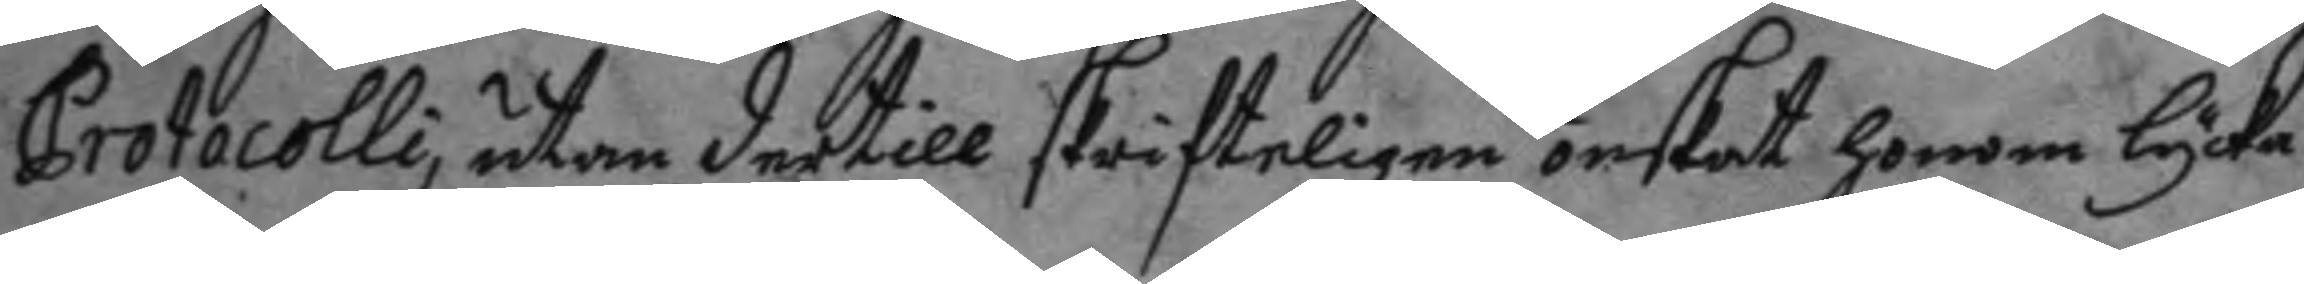Protocolli, utan dertill skrifteligen önskat honom lycka
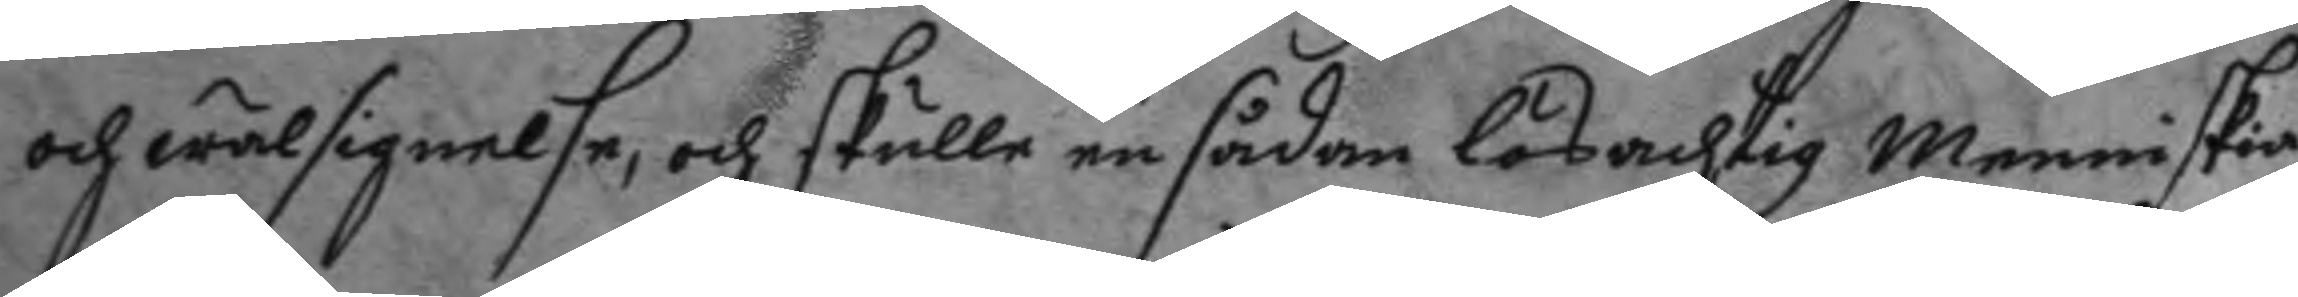och wälsignelse, och skulle en sådan lösachtig enniskia
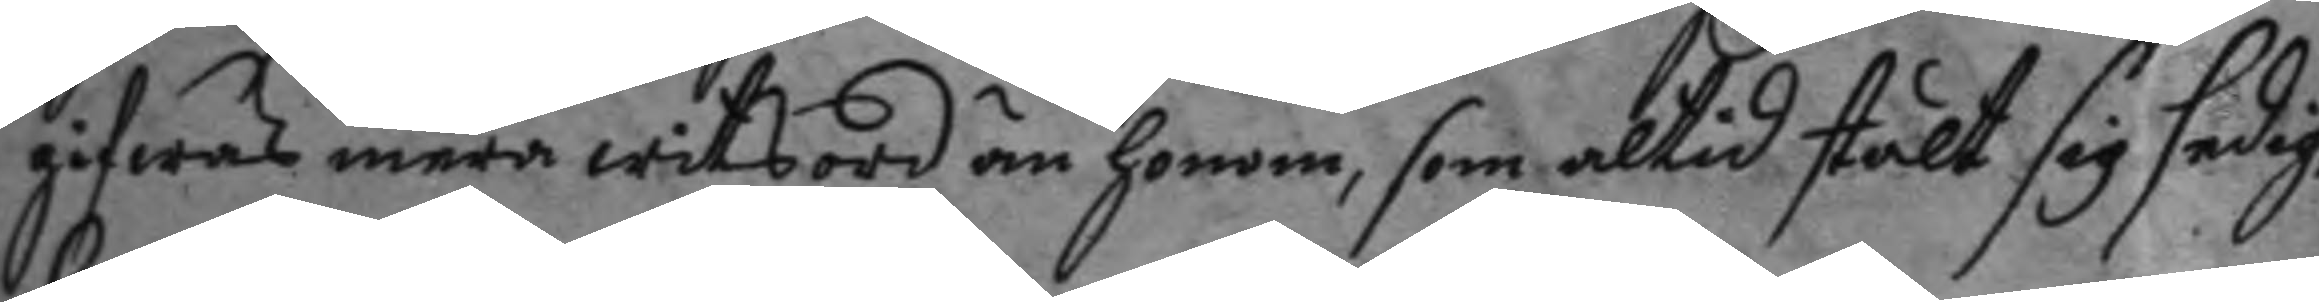gifwas mera witsord än honom, som altid stält sig sedig,
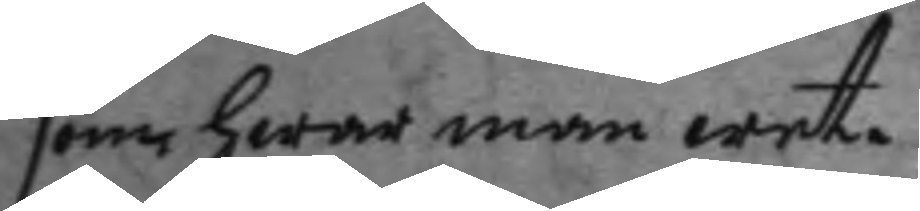som hwar man wet.
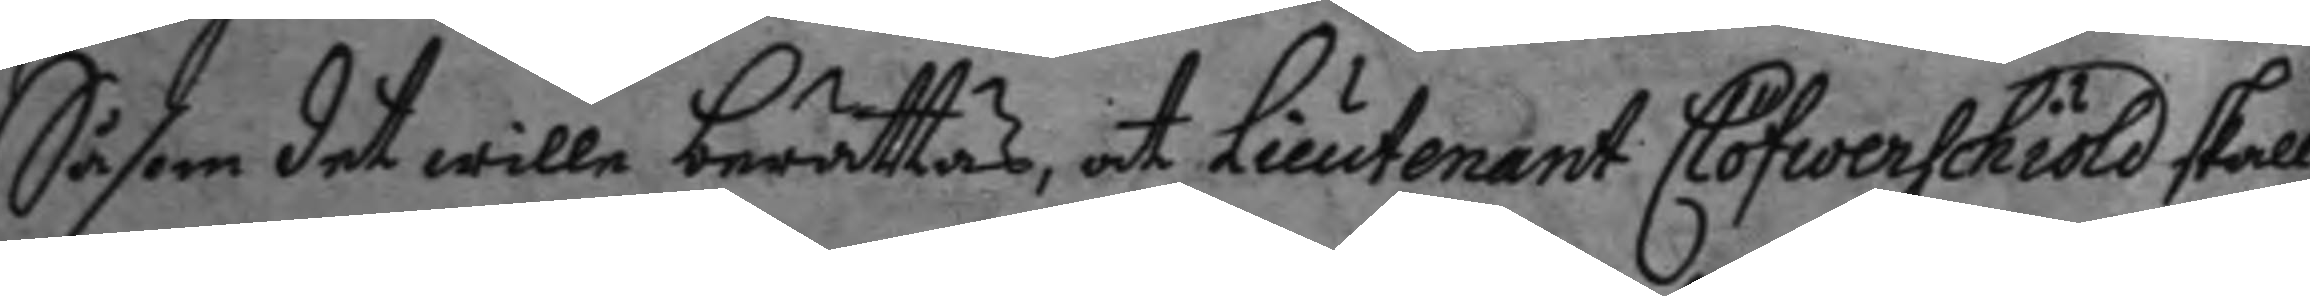Såsom det wille berättas at Lieutnant Clöfwerschiöld skall
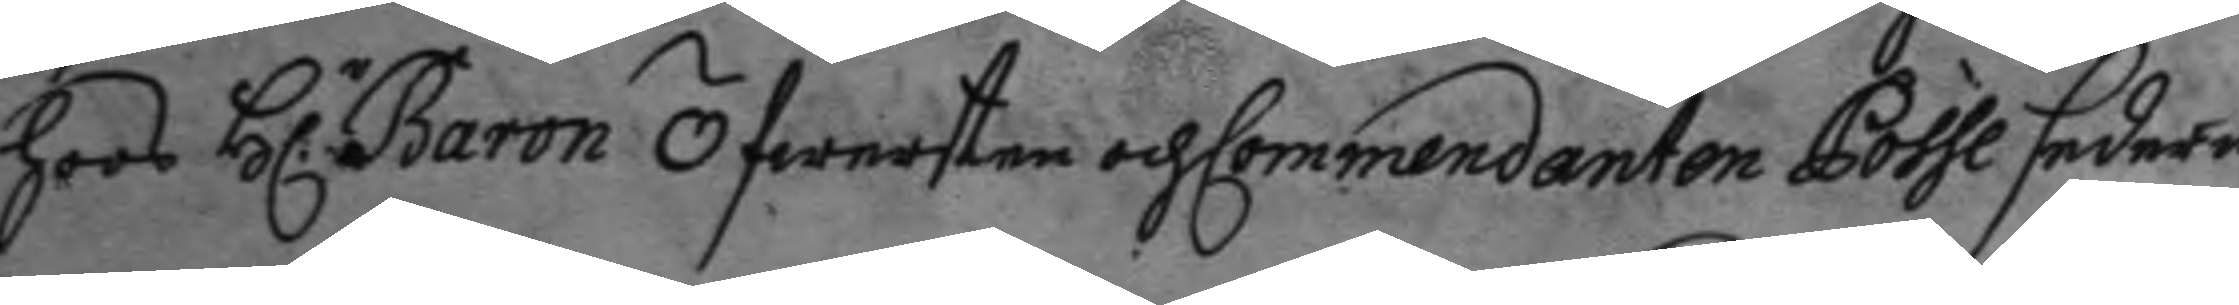hoos h.r Baron Öfwersten och Commendanten Posse sedermera
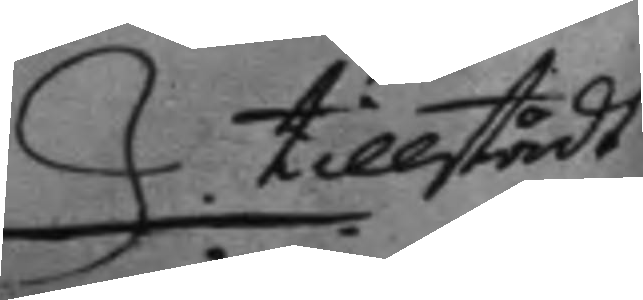tillstådt
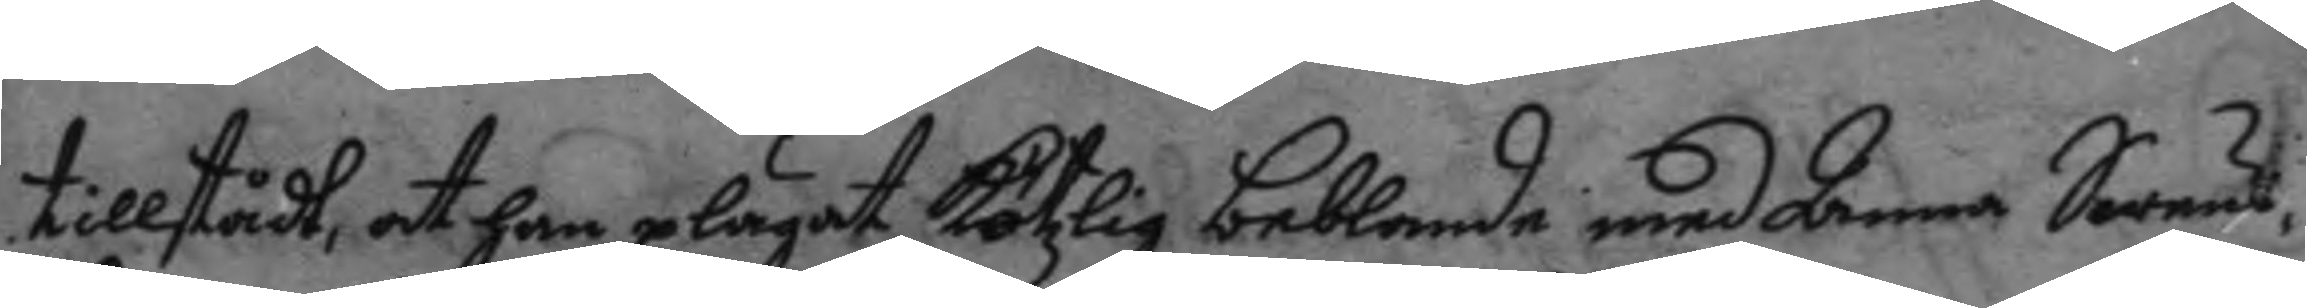tillstådt, at han plägat kötzlig beblandelse med Anna Swäns¬
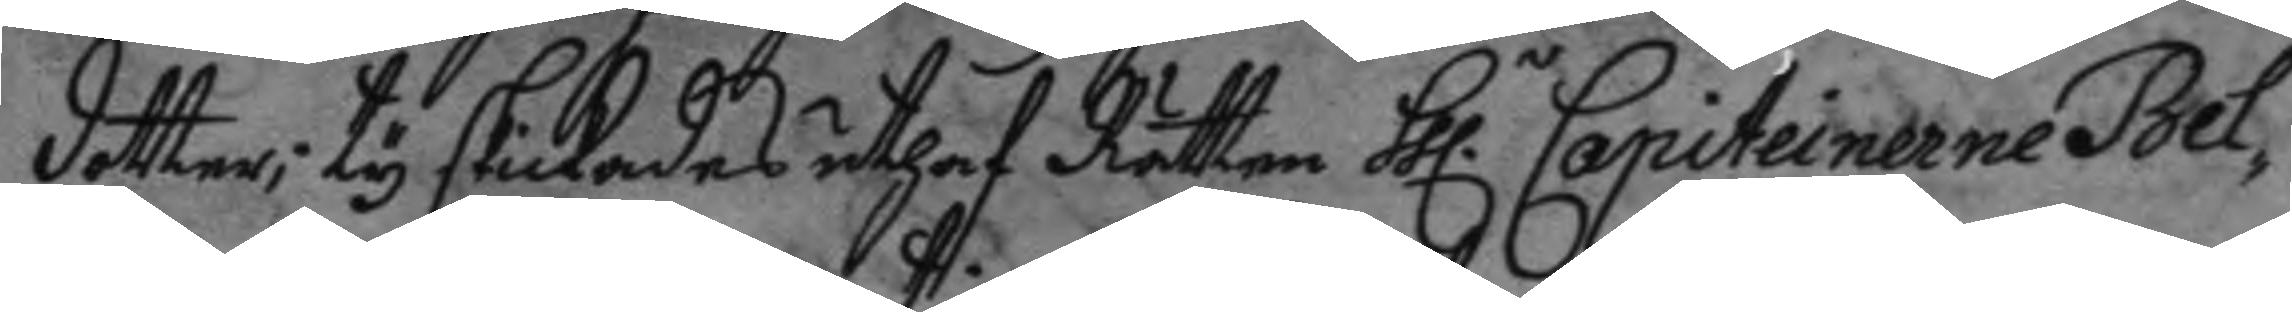dotter; ty skickades uthaf Rätten hh.r Capiteinerne Bel¬
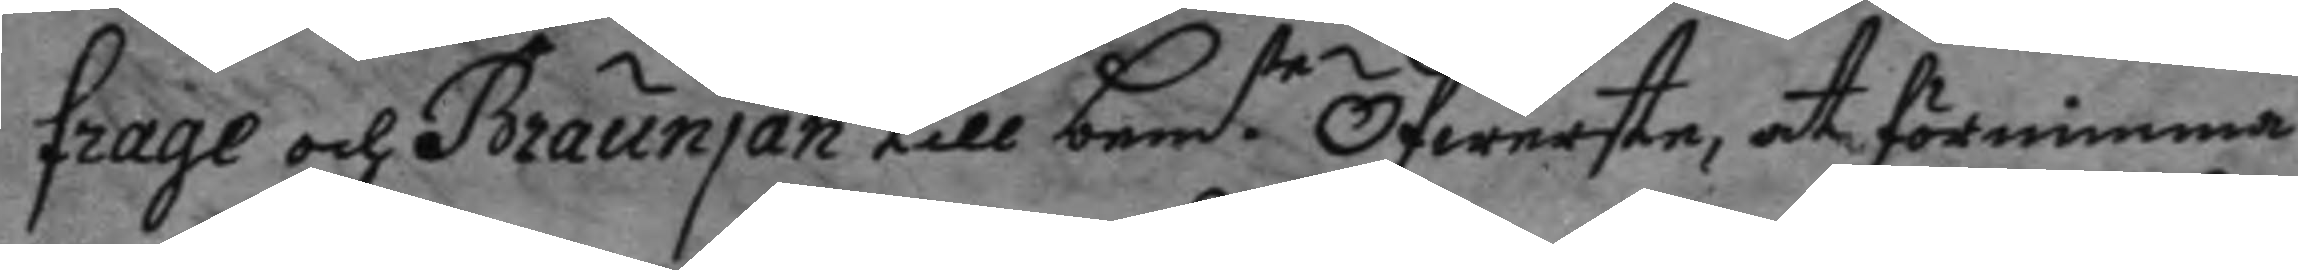frage och Braunjan till bem.te Öfwertse, at förnimma
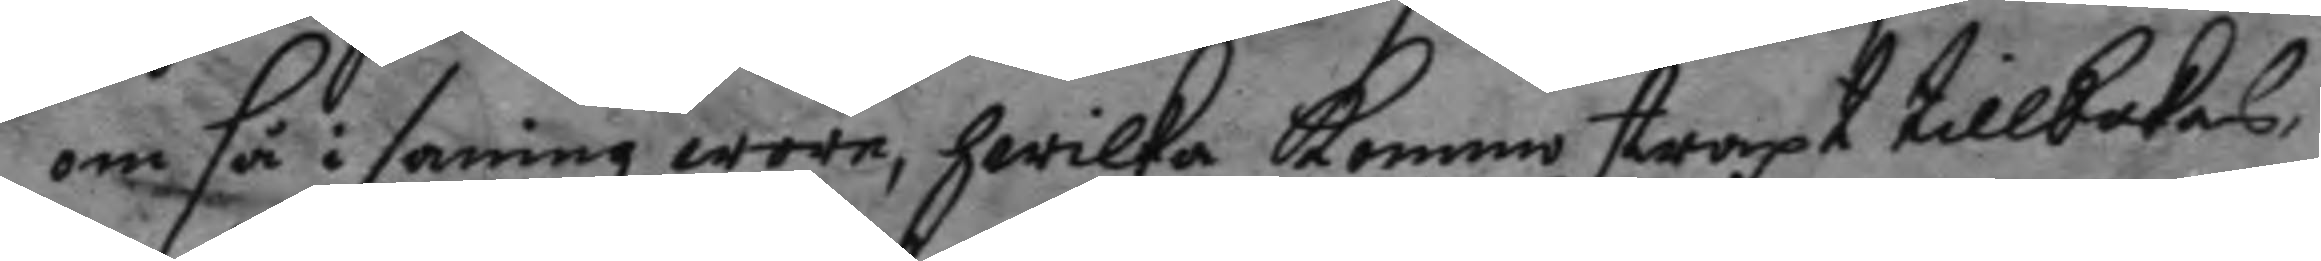om så i sanning wore, hwilka kommi straxt tillbakas,
